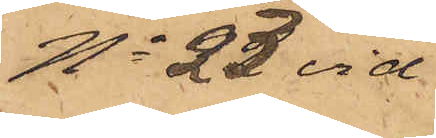No 23 vid
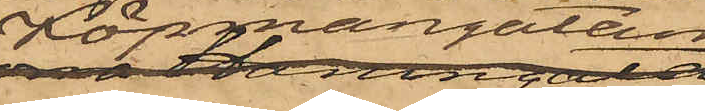Köpmangatan
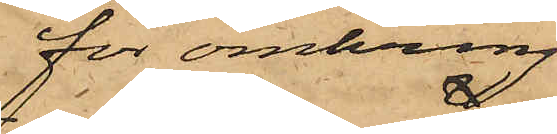för omkring
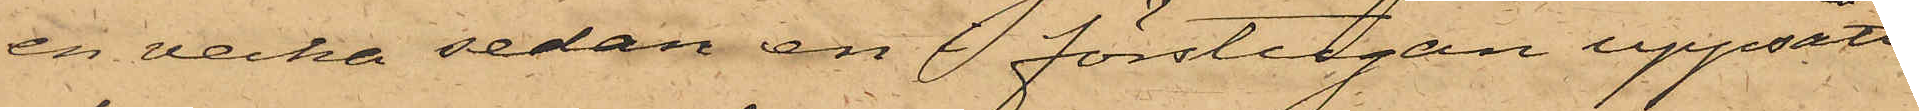en vecka sedan en i förstugan uppsatt
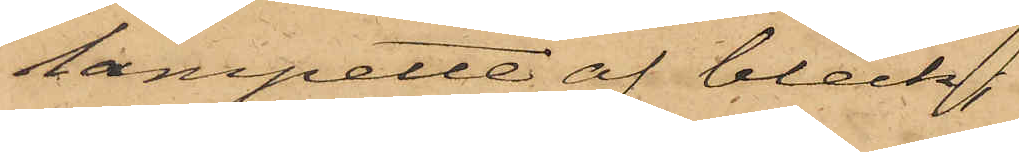lampette af bleck,
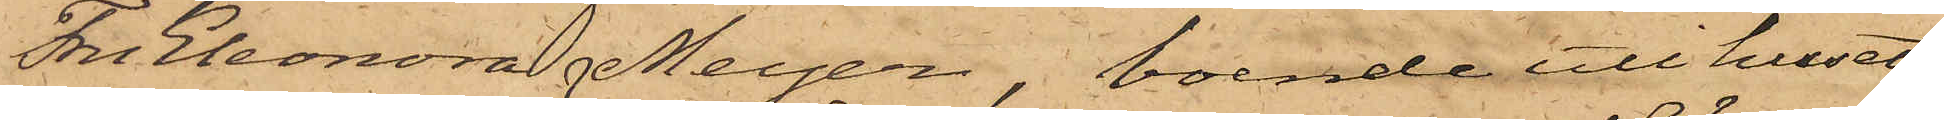Fru Eleonora Meyer, boende uti huset
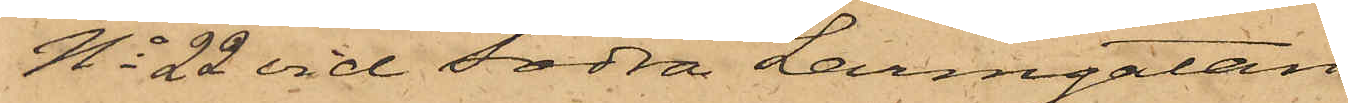No 22 vid Södra Larmgatan
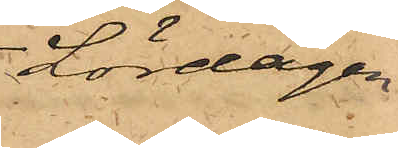Lördagen
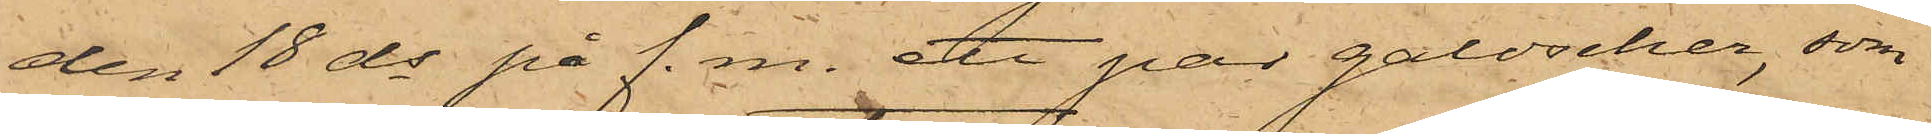den 18 ds på f.m. ett par galoscher, som
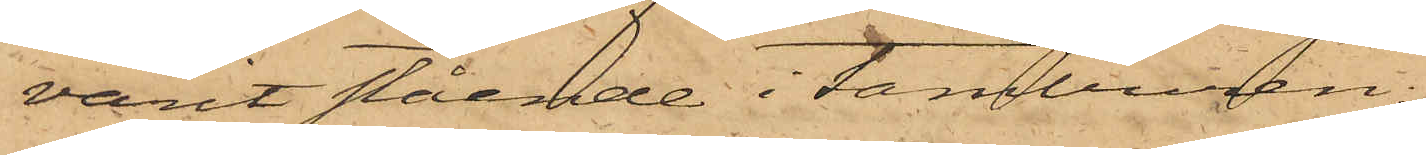varit stående i tamburen;
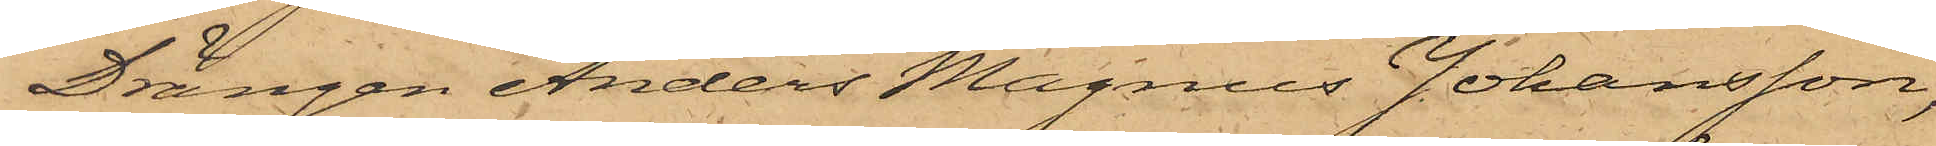Drängen Anders Magnus Johansson,
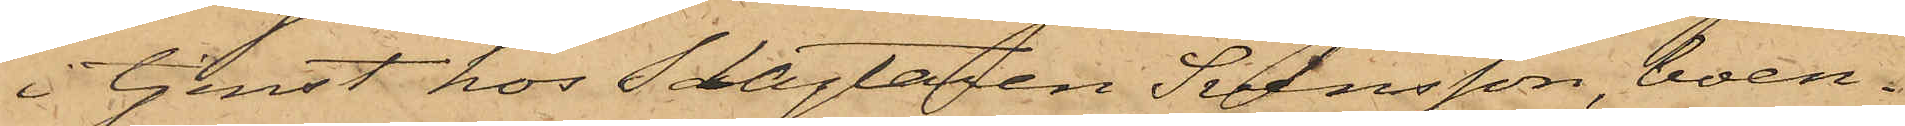i tjenst hos Slagtaren Svensson, boen¬
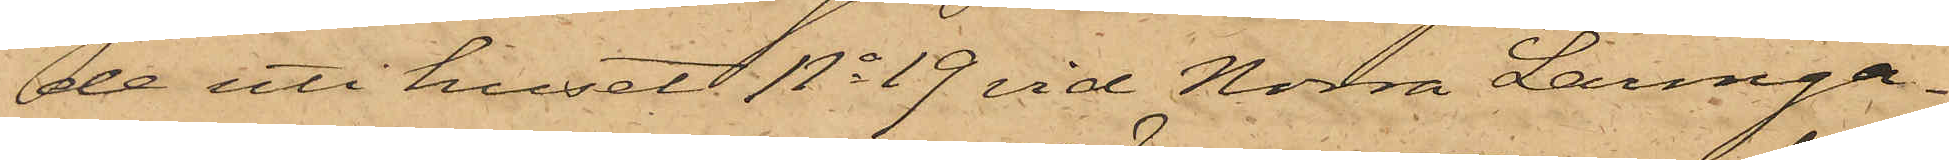de uti huset No 19 vid Norra Larmga¬
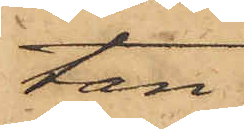tan,
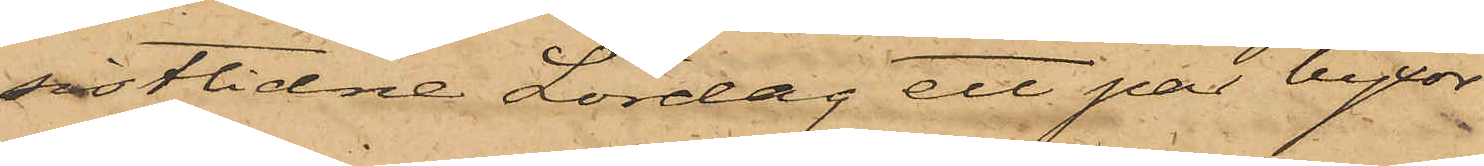sistlidne Lördag ett par byxor
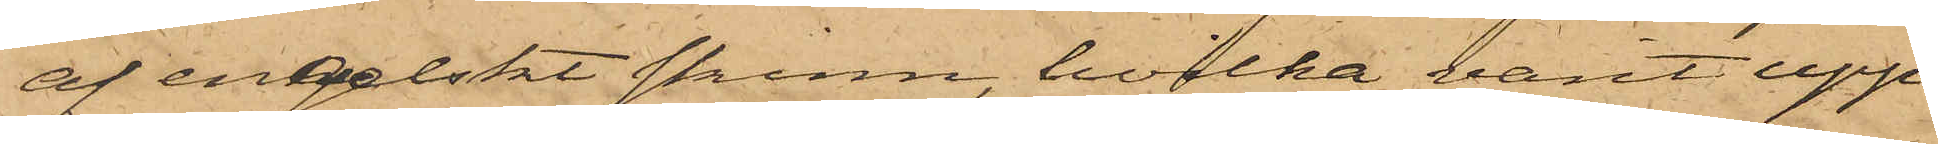af engelskt skinn, hvilka varit upp¬
